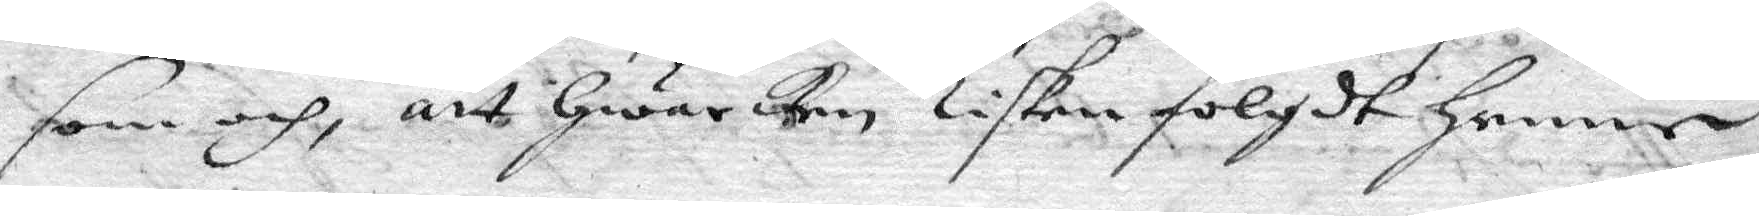som och, att hwar ken Lisken fölgdt henne
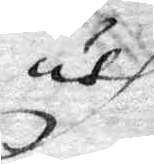uth
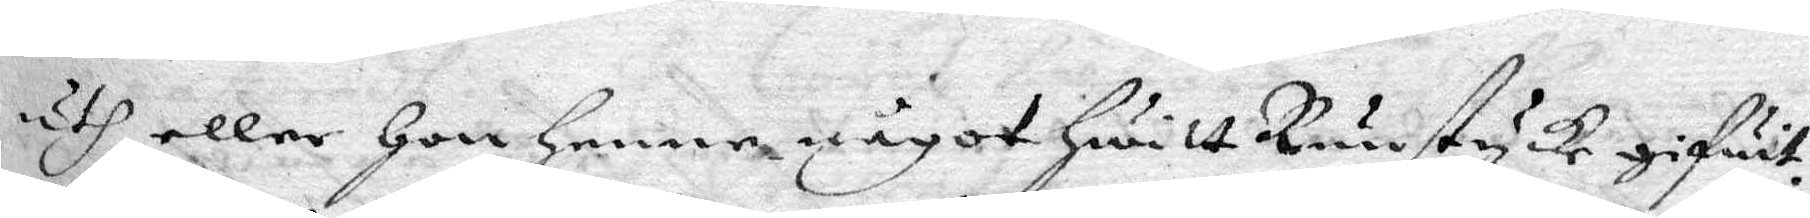uth eller hon henne något hwitt Runstycke gifwit.
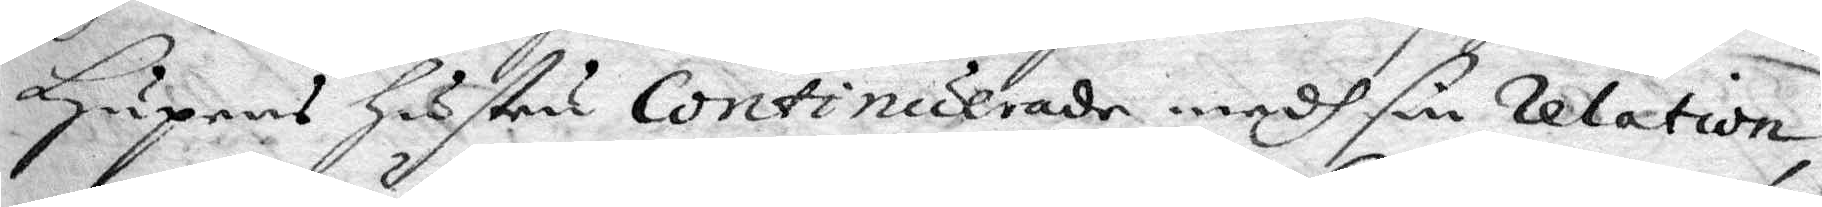Hupens hustru Continuerade medh sin relation,
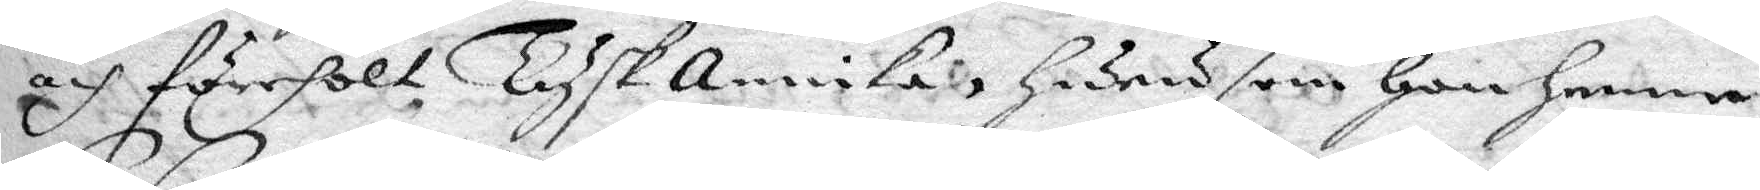och förehölt TyskAnnika, huru som hon henne
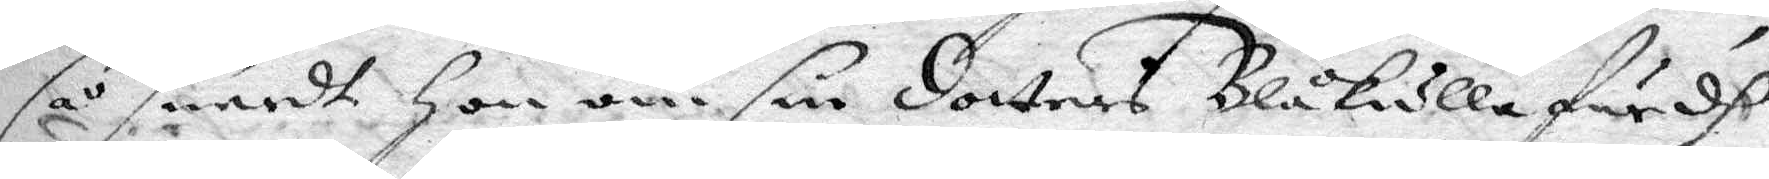så snardt hon om sin dotters Blåkullafärdh
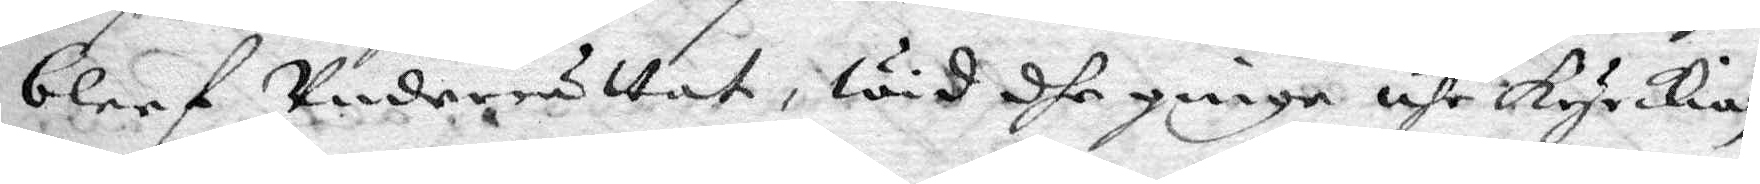bleef Underrättat, Wid dhe ginge uhr kyrkian
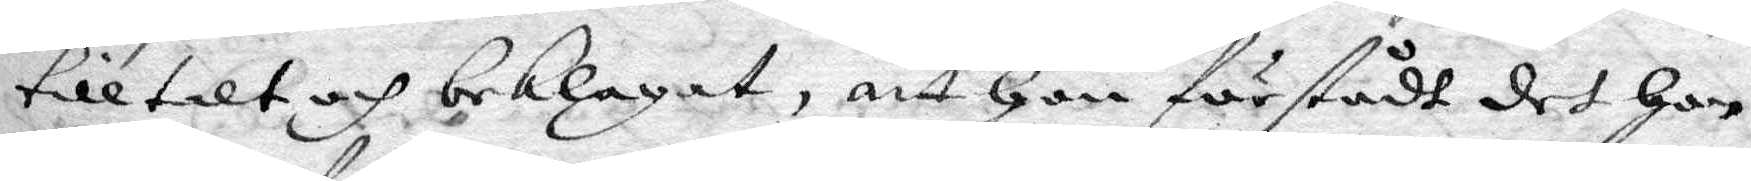tilltalt och beklagat, att hon förstådt det hon
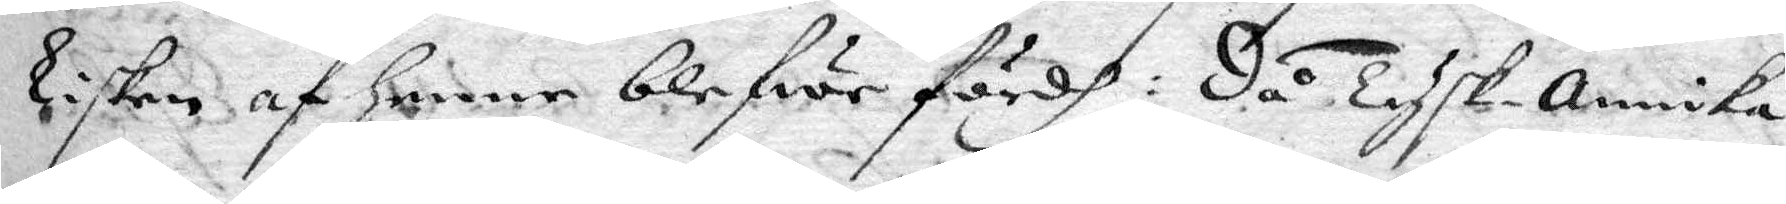Lisken af henne blefwe fördh: då Tysk-Annika
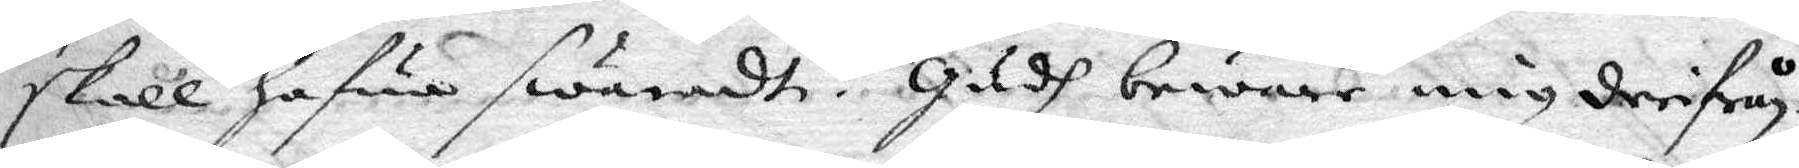skall hafwa swaradt: Gudh beware mig derifrån
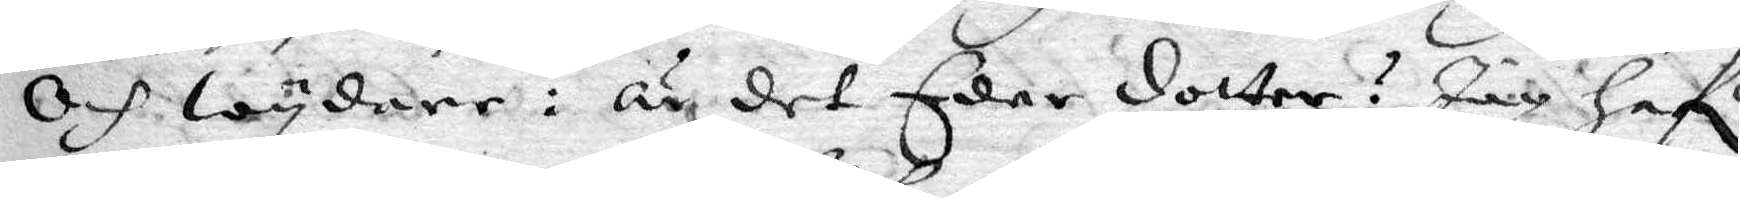och wydare: är det eder dotter? jag hafr
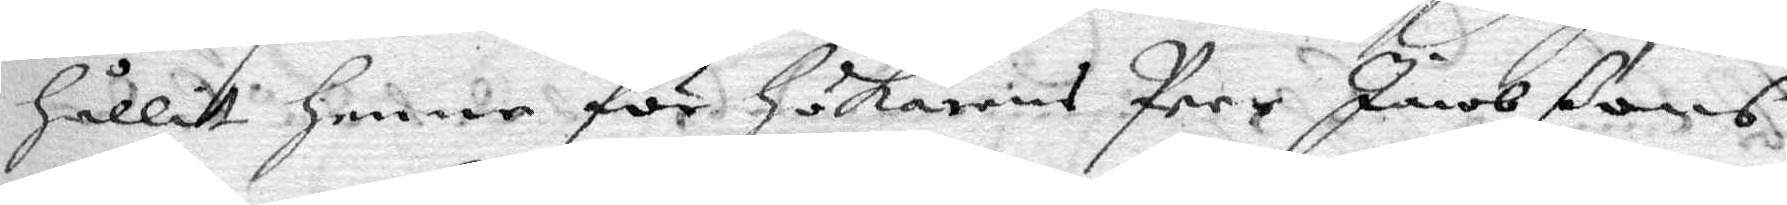hållit henne för hökarens Peer Jacobßons
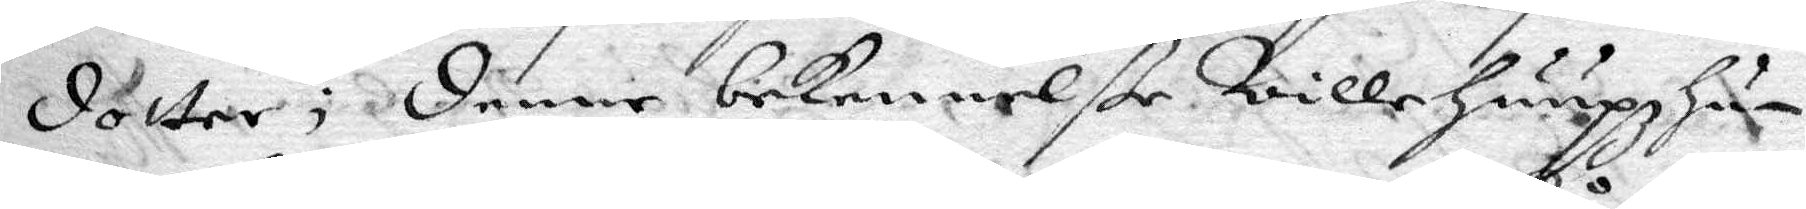dotter; denne bekennelße Wille huupz hu¬
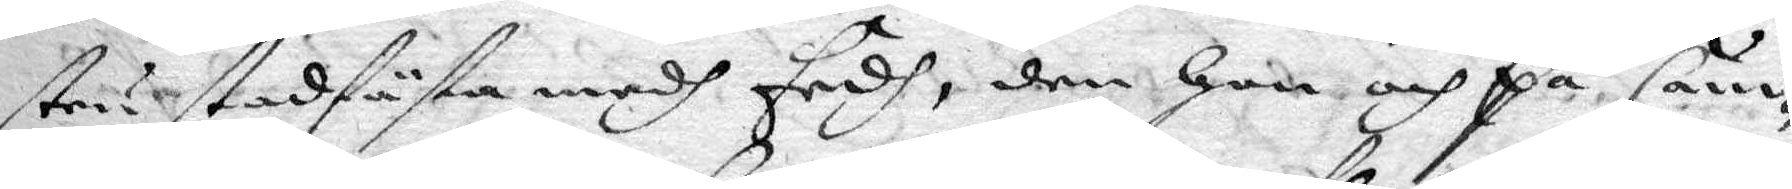tru stadfästa medh Eedh, den hon och på Cäm¬
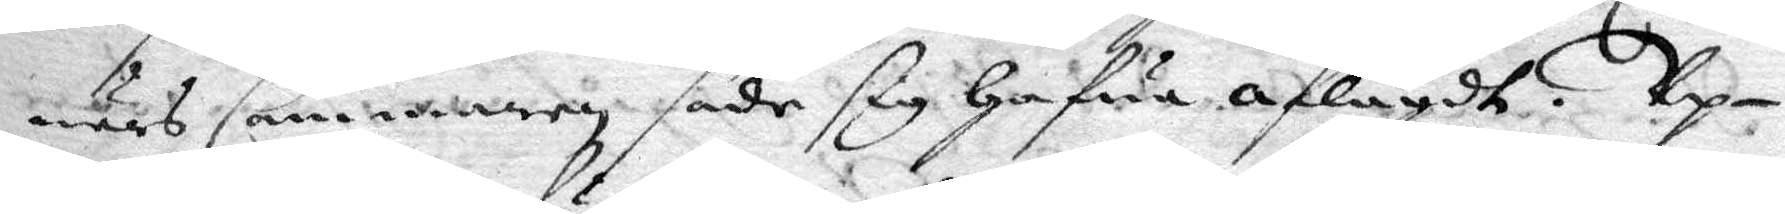närs Cammaren sade sig hafwa aflagdt. Up¬
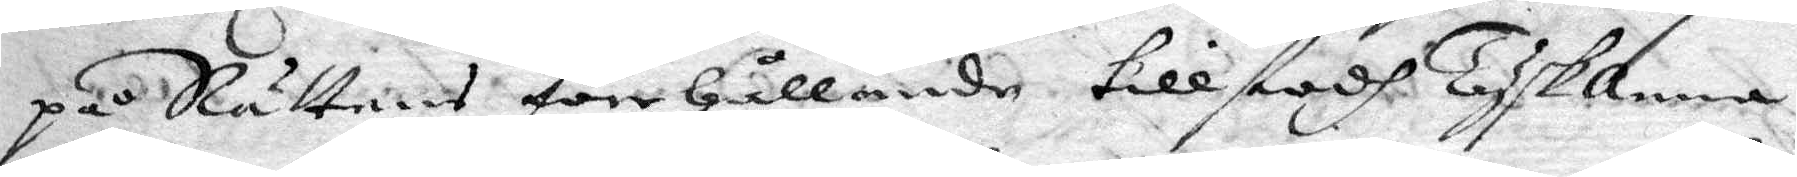på Rättens förehållande tillstodh TyskAnna
